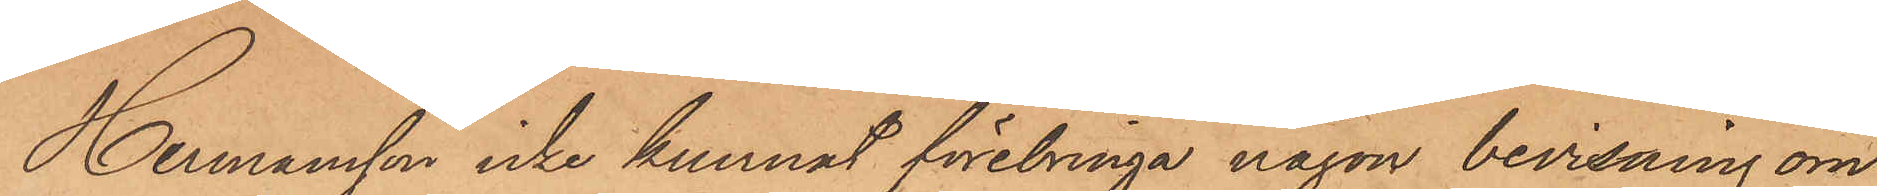Hermansson icke kunnat förebringa någon bevisning om
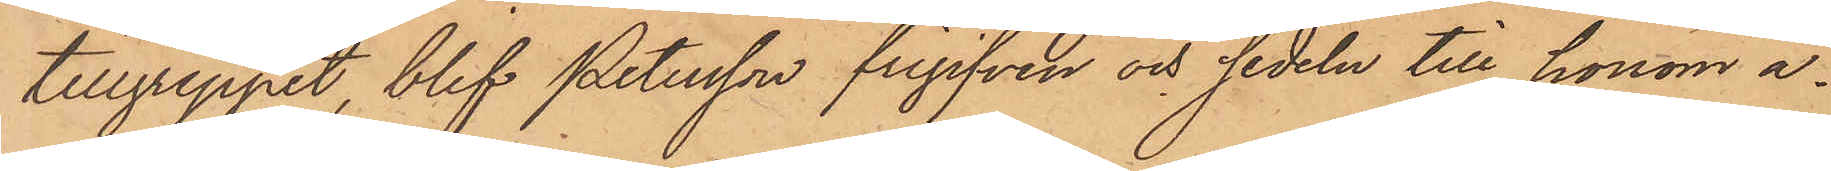tillgreppet, blef Petersson frigifven och sedeln till honom å¬
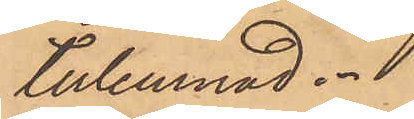terlemnad.
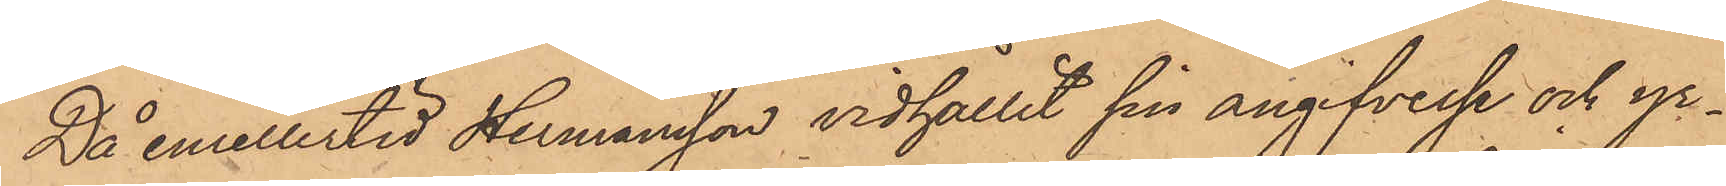Då emellertid Hermansson vidhållit sin angifvelse och yr¬
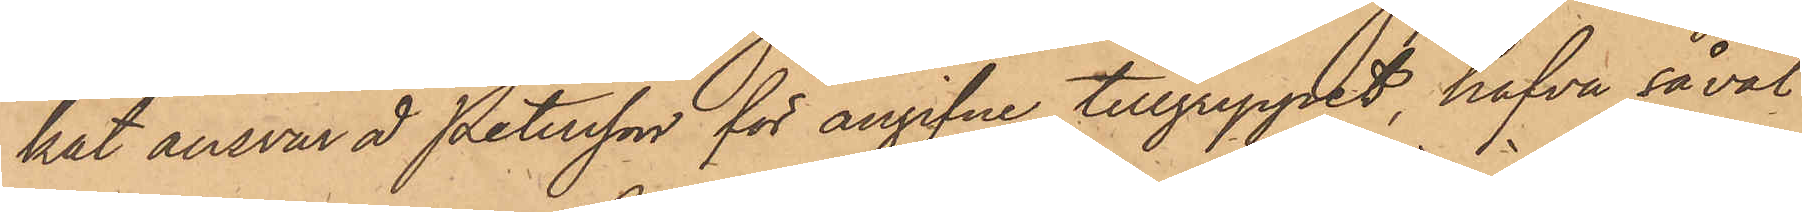kat ansvar å Petersson för angifne tillgreppet, hafva såväl
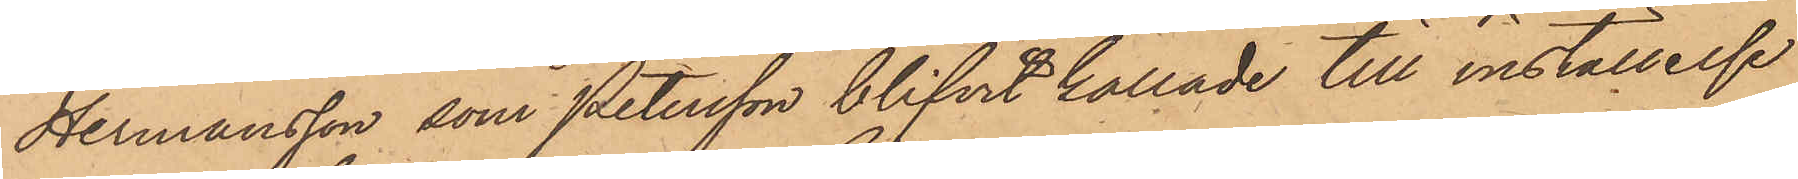Hermansson som Petersson blifvit kallade till inställelse
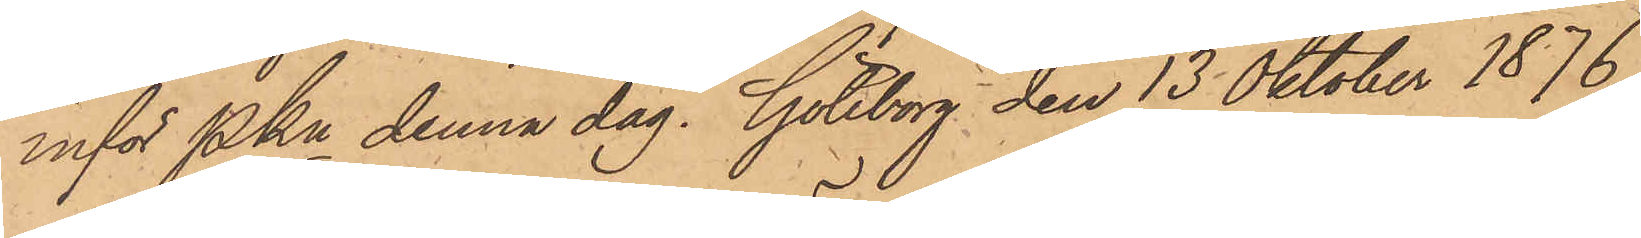inför Pkn denna dag. Göteborg den 13 Oktober 1876.
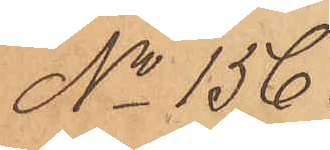No 156.
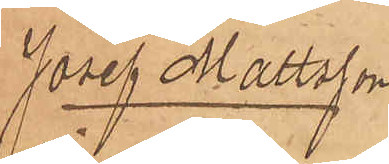Josef Mattsson
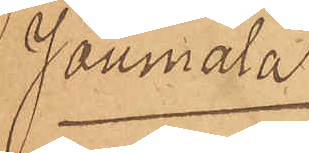Joumala
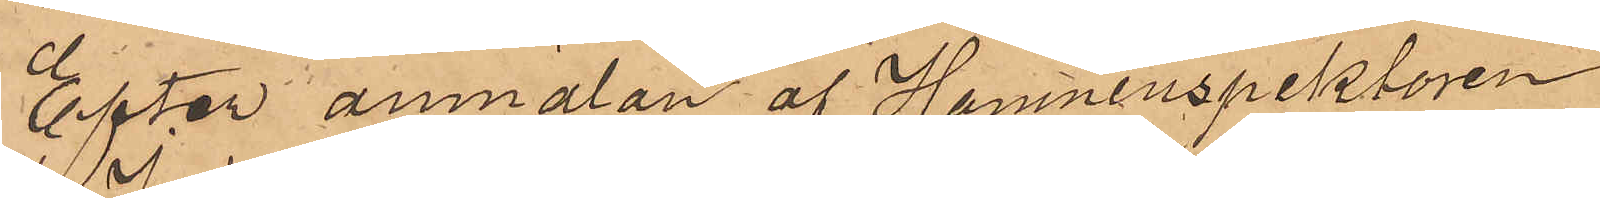Efter anmälan af Hamninspektören
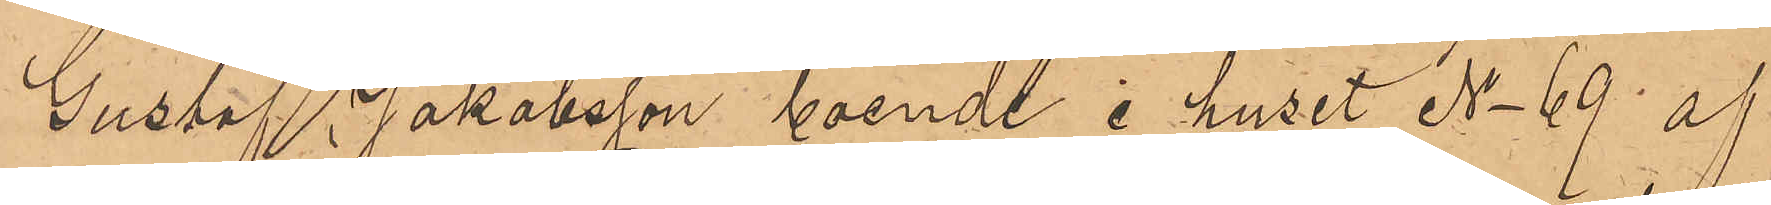Gustaf Jakobsson boende i huset No 69 af
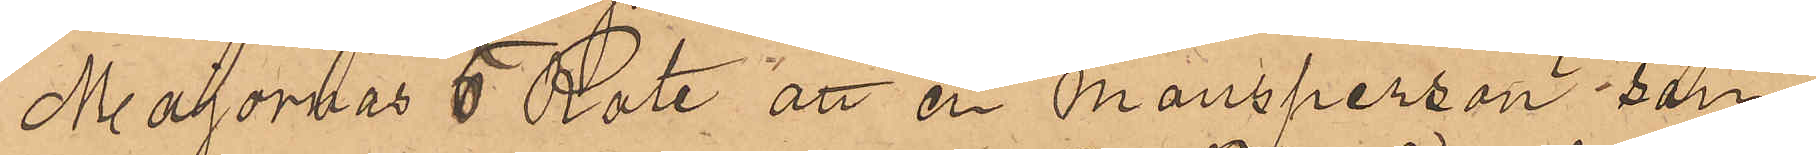Majornas 5 Rote att en mansperson - som
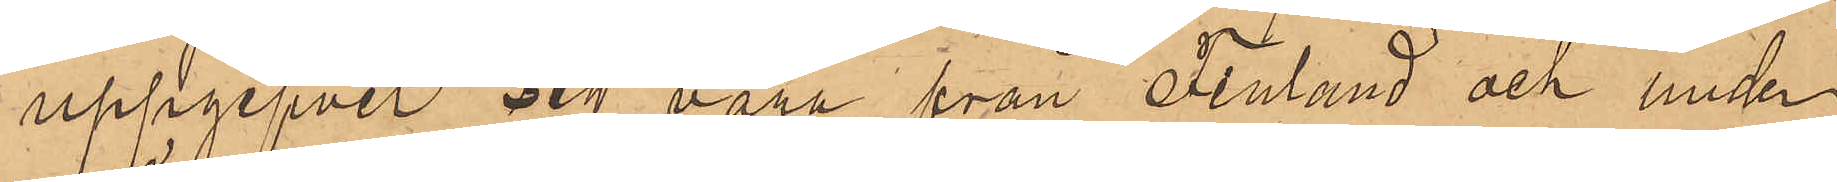uppgifvit sig vara från Finland och under
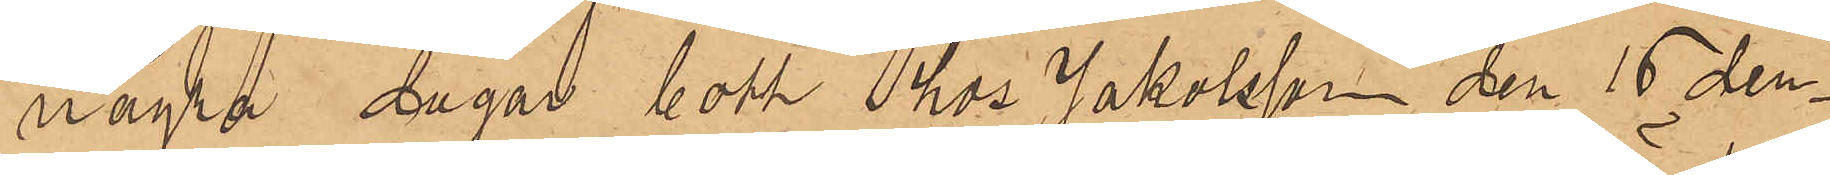några dagar bott hos Jakobsson den 15 den¬
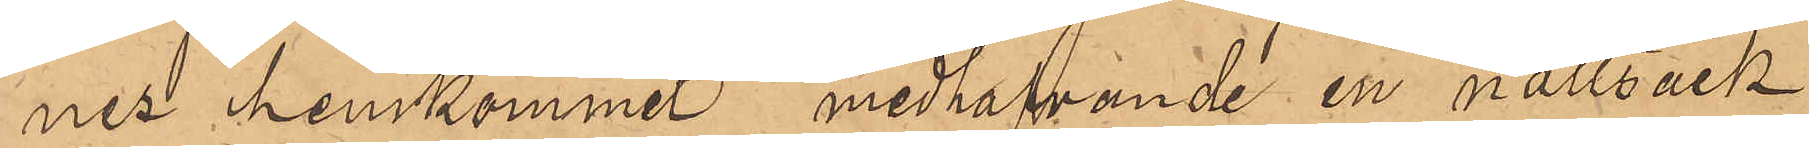nes hemkommit medhafvande en nattsäck
